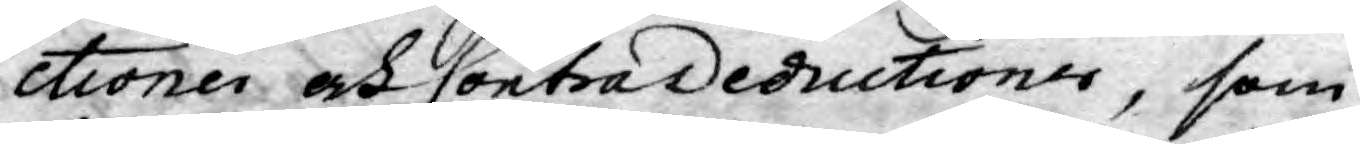ctioner och Contr,adeductioner, som
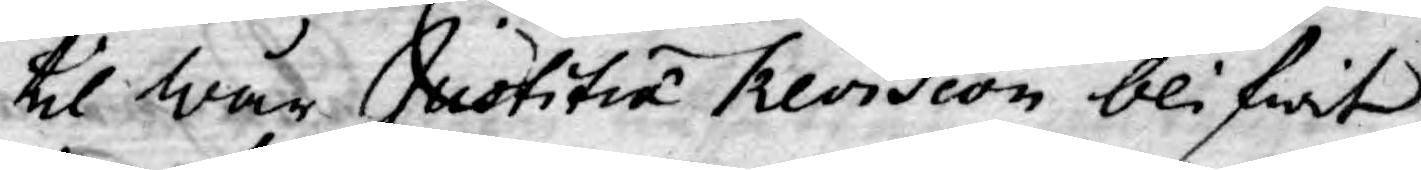til wår Justitia Revision blifwit
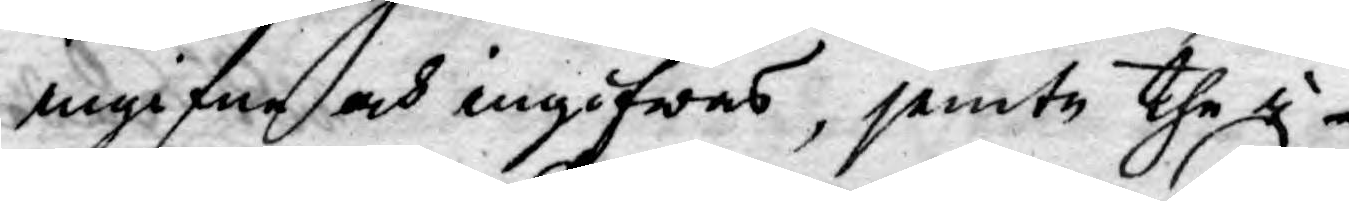angifne och ingifwas, jemte the i
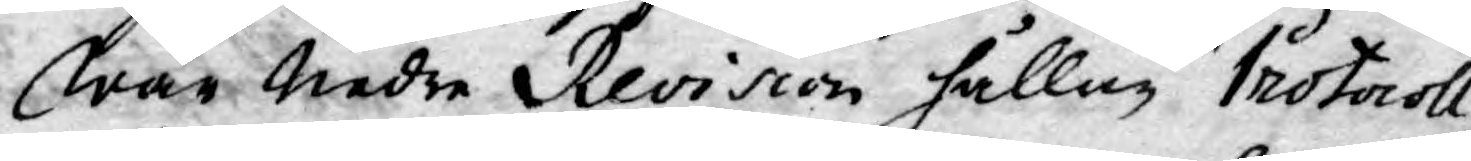wår Nedre Revision hållne Protocoll
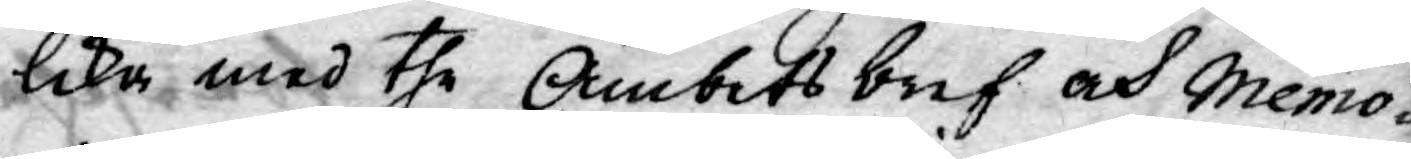lika med the Ämbetsbref och Memo¬
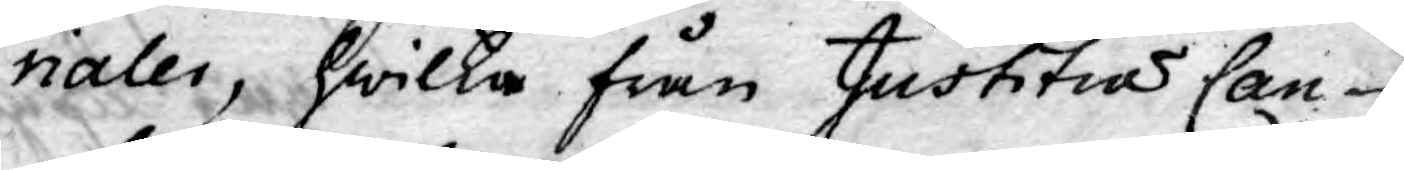rialer, hwilka från Justitiæ Can¬
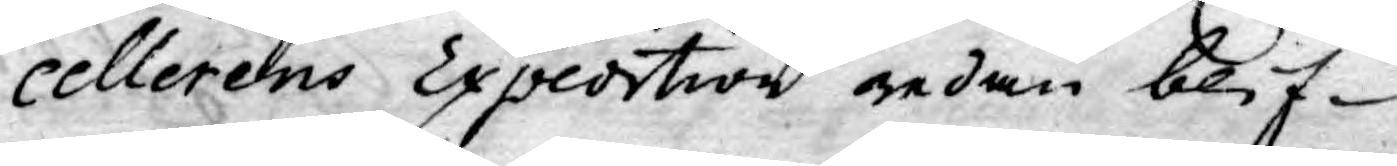cellerens Expedition redan blif¬
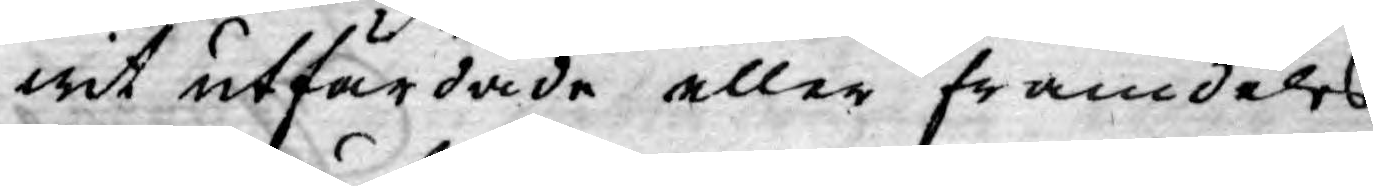wit utfärdade eller framdeles
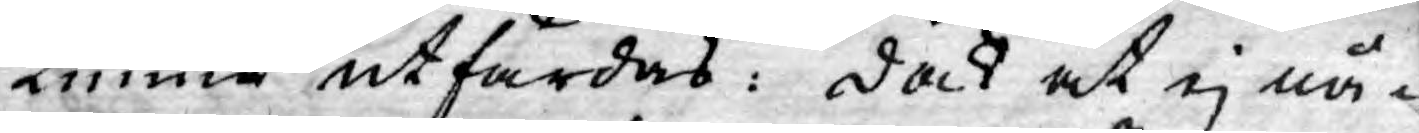Kunna utfärdas: dock at ej nå¬
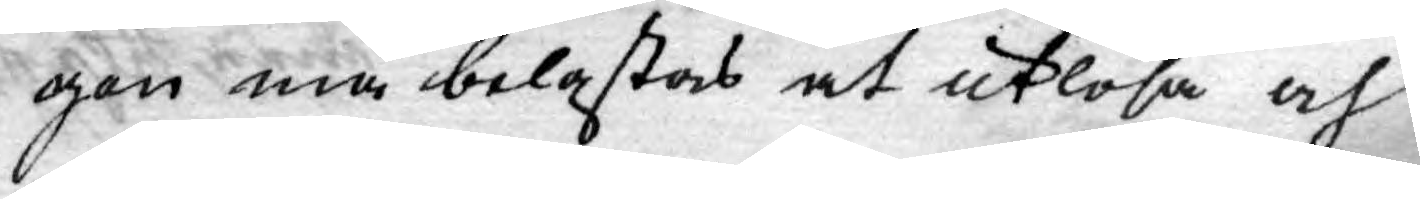gon må belastas at utlösa och
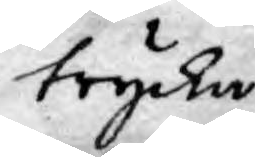trycka
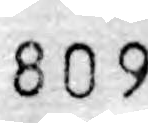809
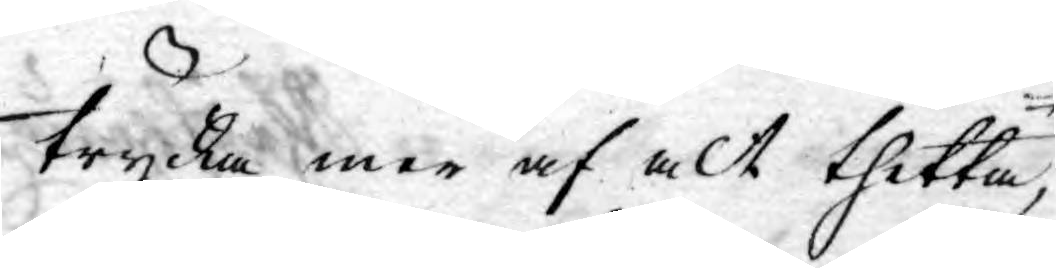trycka mer af alt thetta,
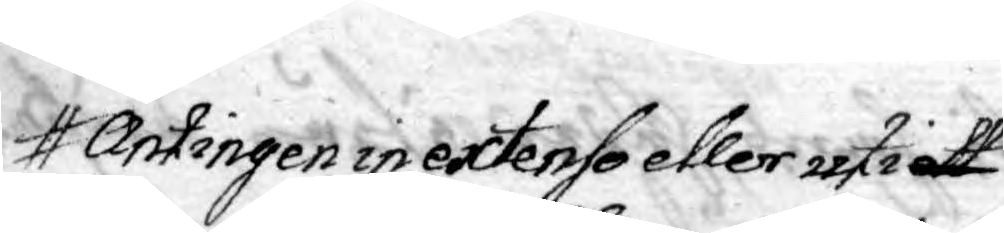Antingen in extenso eller uti ett
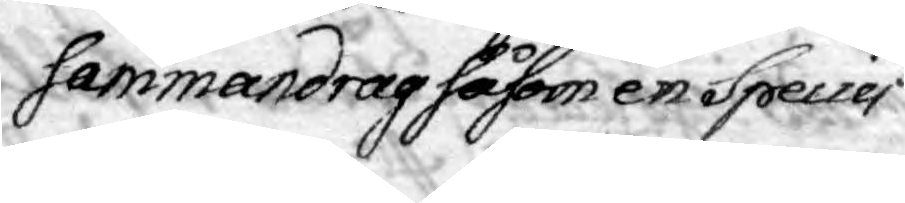sammandrag såsom en Speciei
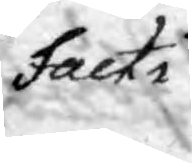Facti
